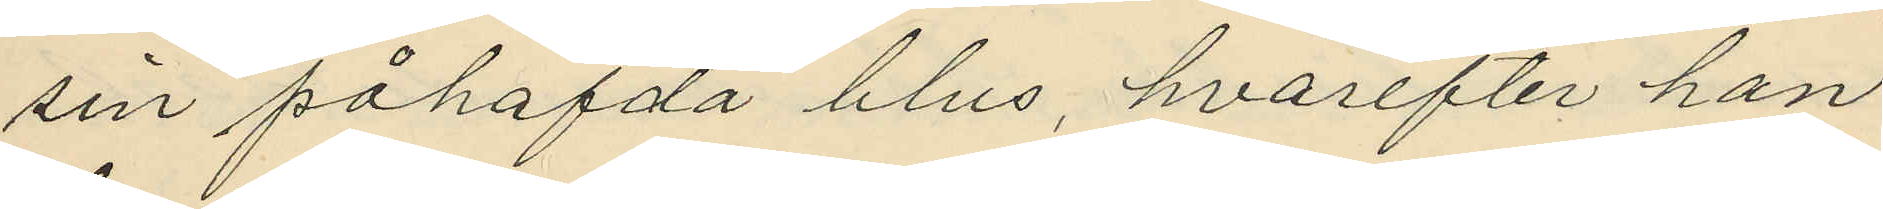sin påhafda blus, hvarefter han
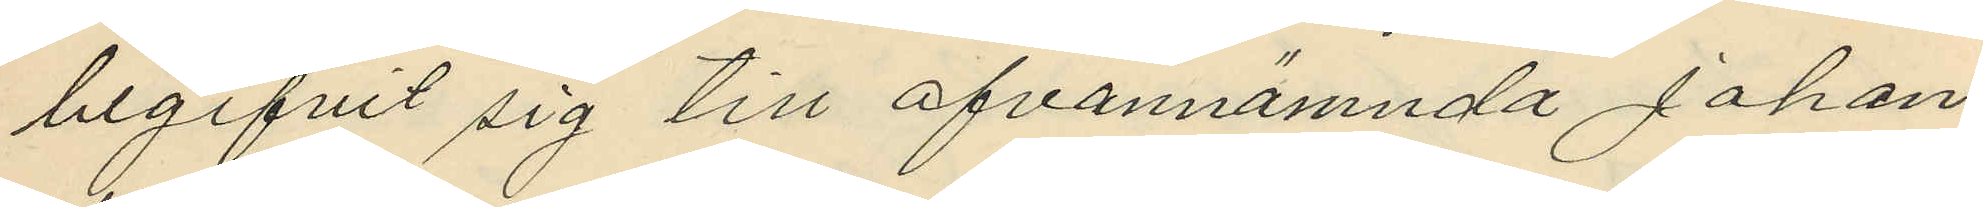begifvit sig till ofvannämnda Johan
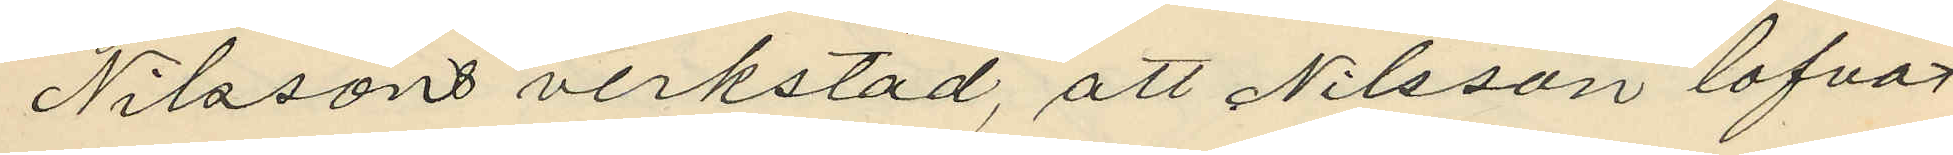Nilssons verkstad, att Nilsson lofvat
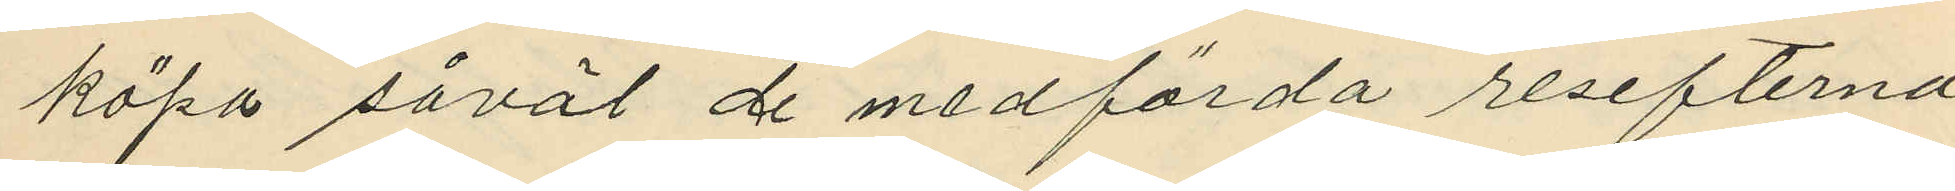köpa såväl de medförda resefterna
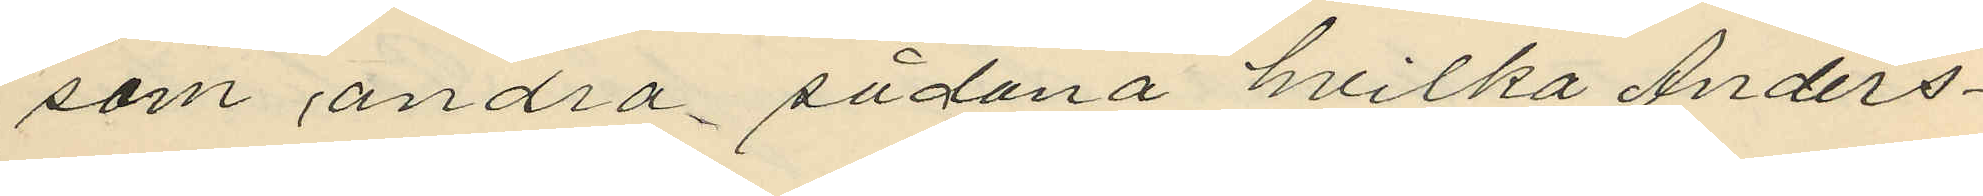som andra sådana hvilka Anders¬
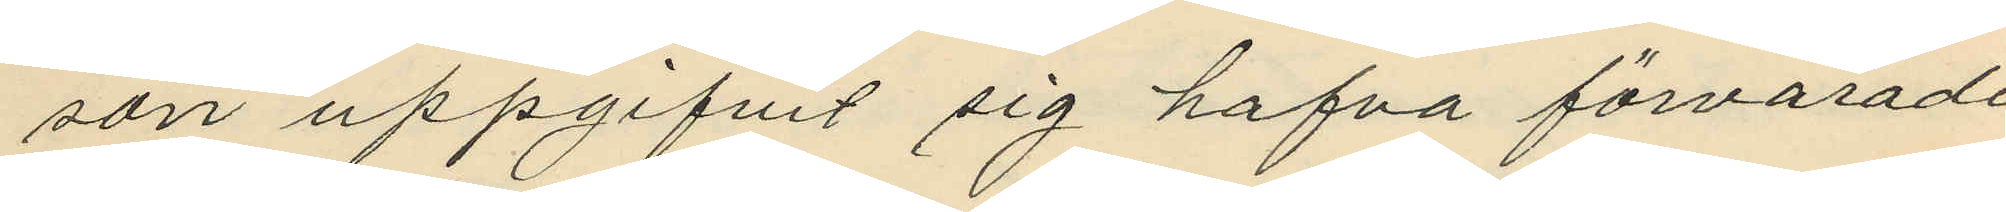son uppgifvit sig hafva förvarade
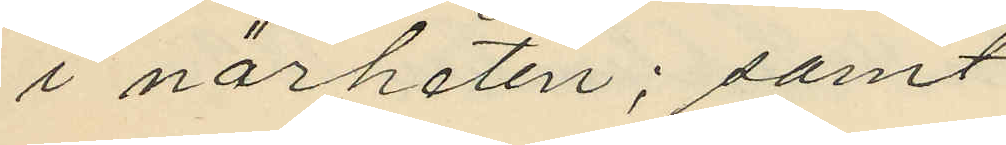i närheten; samt
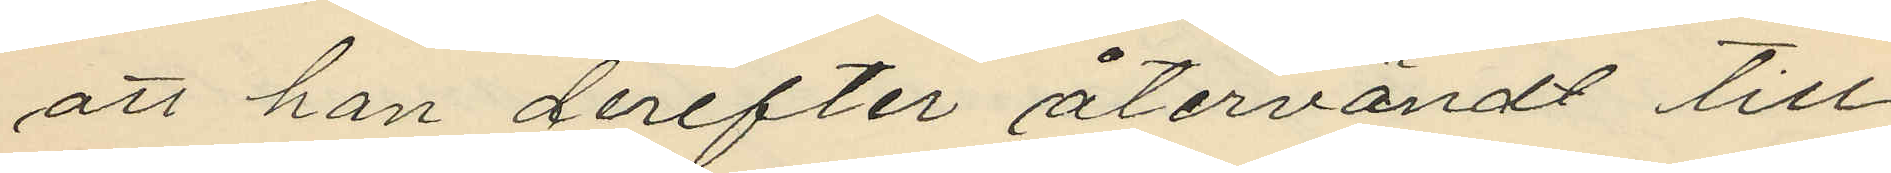att han derefter återvändt till
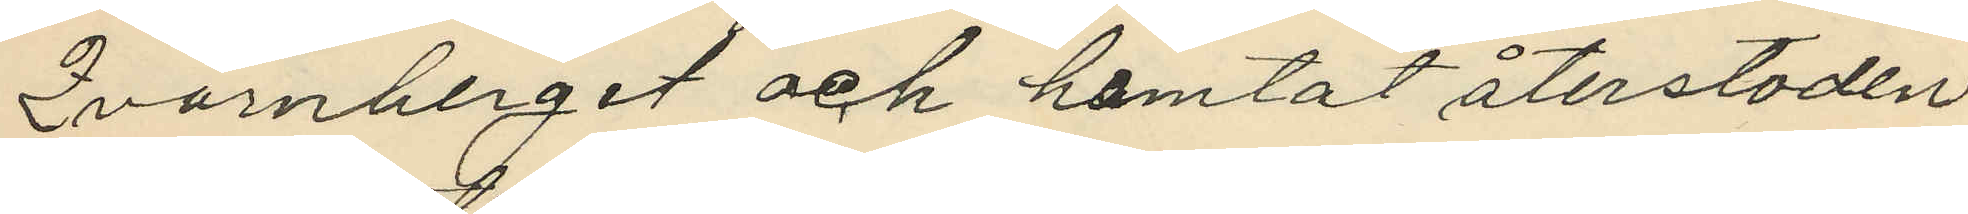Qvarnberget och hemtat återstoden
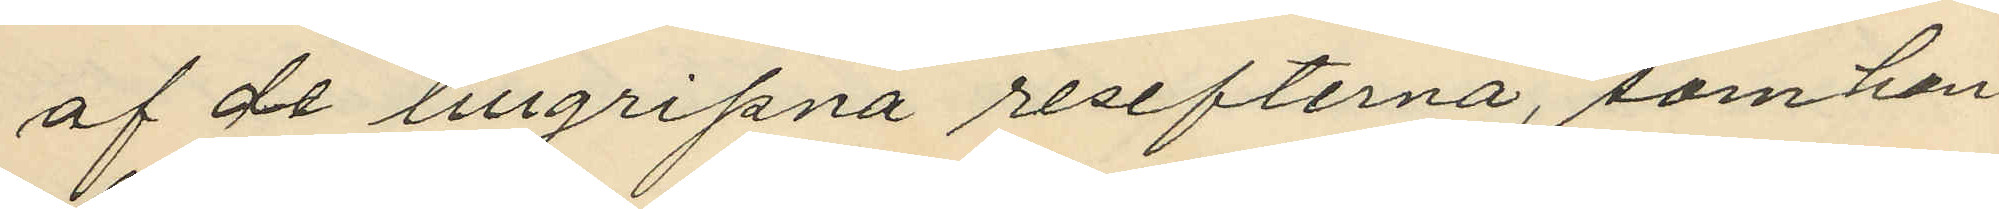af de tillgripna resefterna, som han
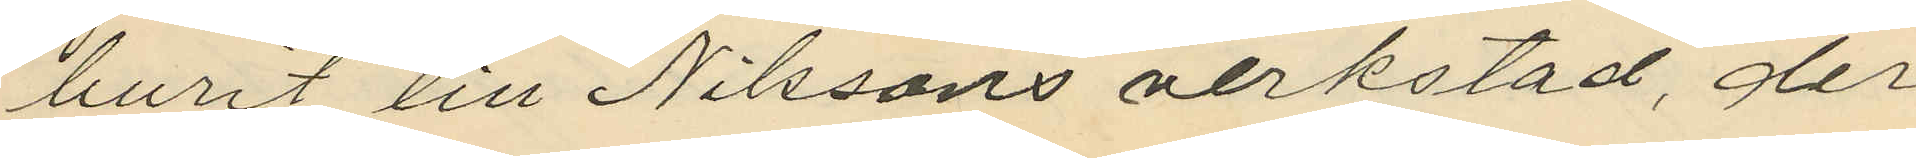burit till Nilssons verkstad, der
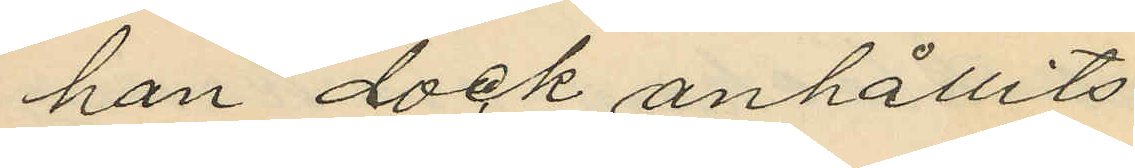han dock anhållits.
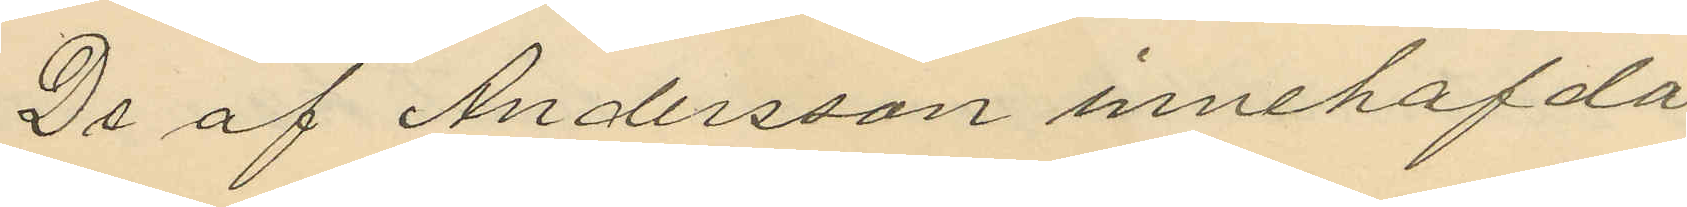De af Andersson innehafda
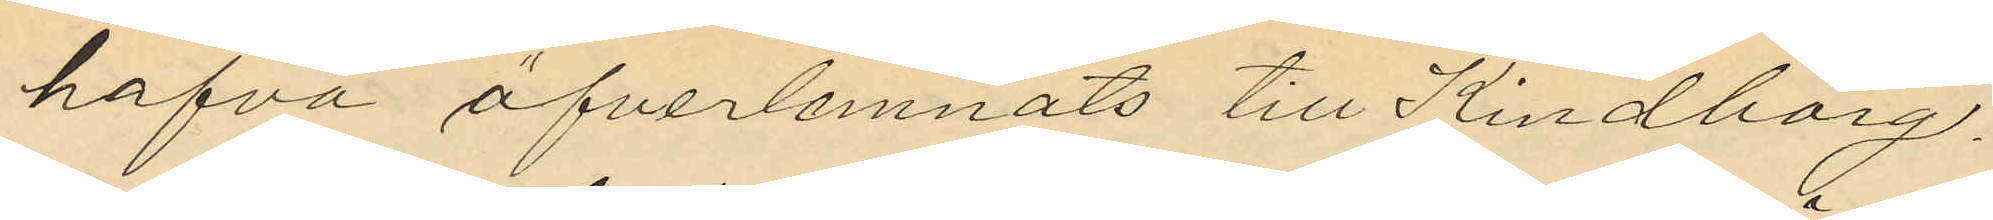hafva öfverlemnats till Kindborg.
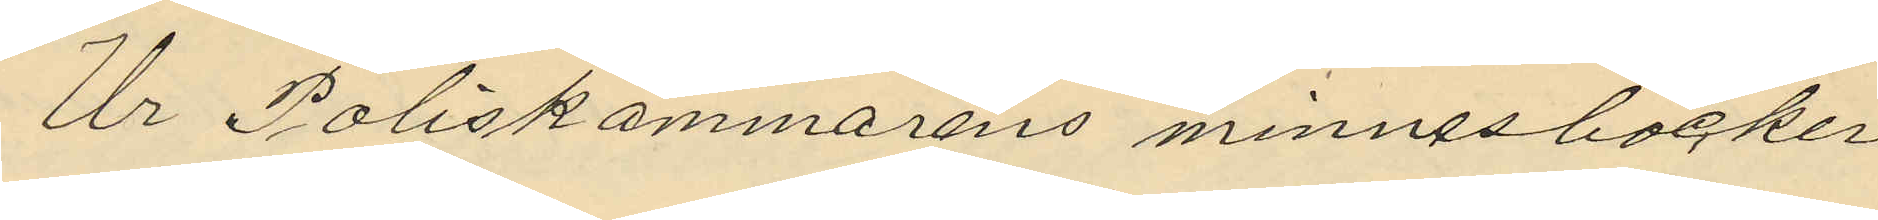Ur Poliskammarens minnesböcker
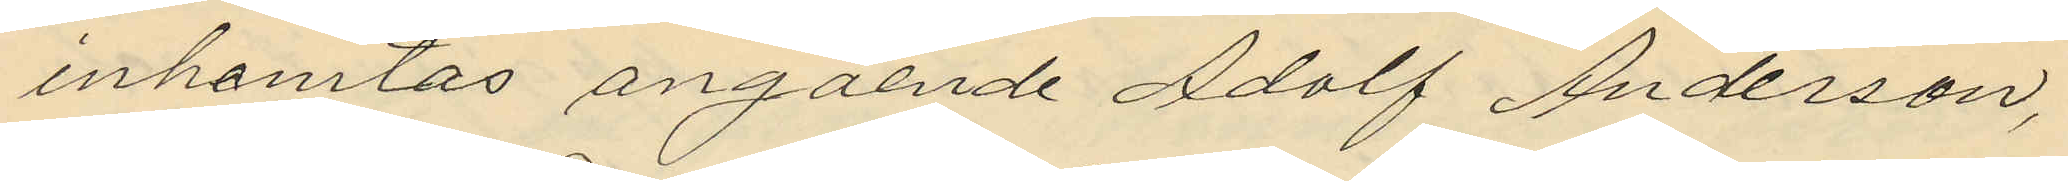inhemtas angående Adolf Anderson,
